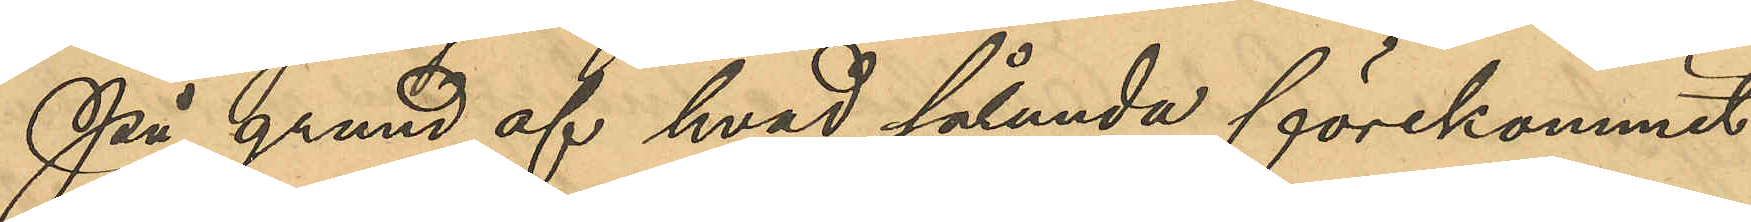På grund af hvad sålunda förekommit
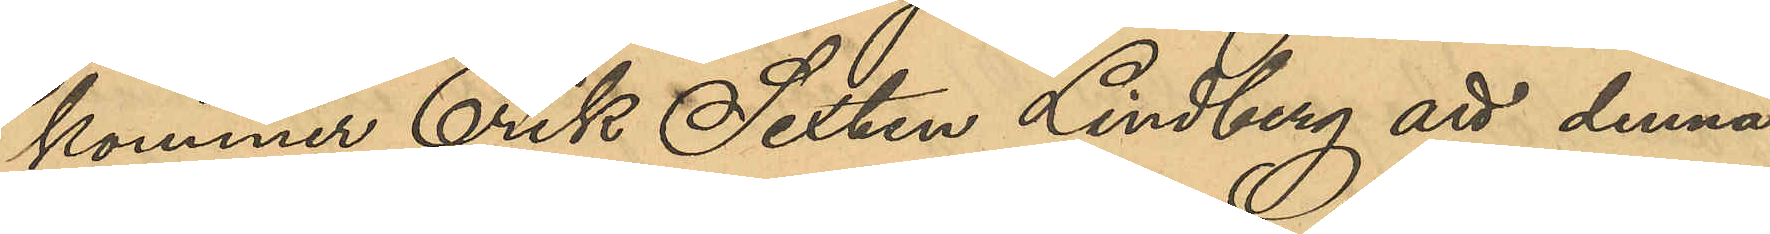kommer Erik Sixten Lindberg att denna
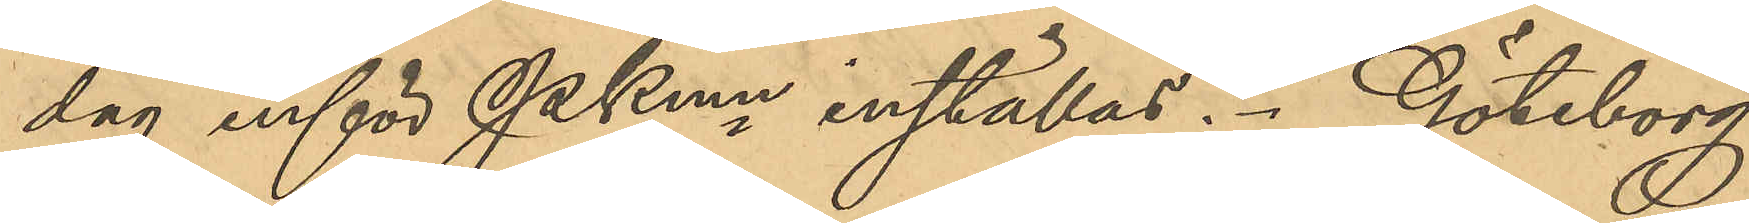dag inför PKmn inställas. Göteborg
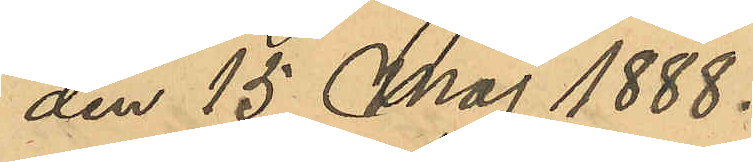den 15 Maj 1888.
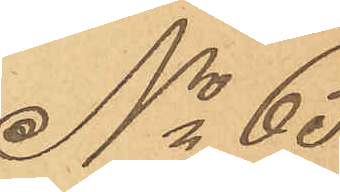No 65
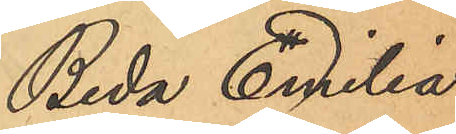Beda Emilia
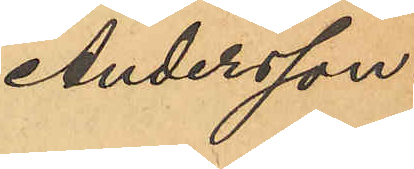Andersson.
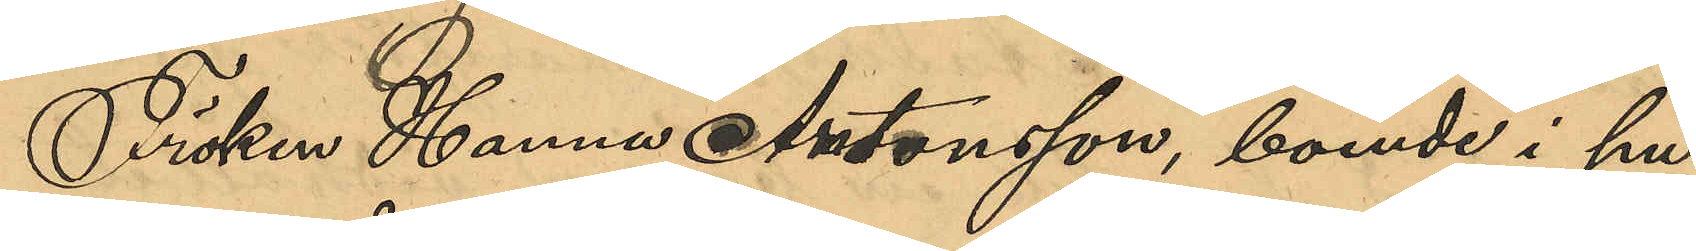Fröken Hanna Antonsson, boende i hu¬
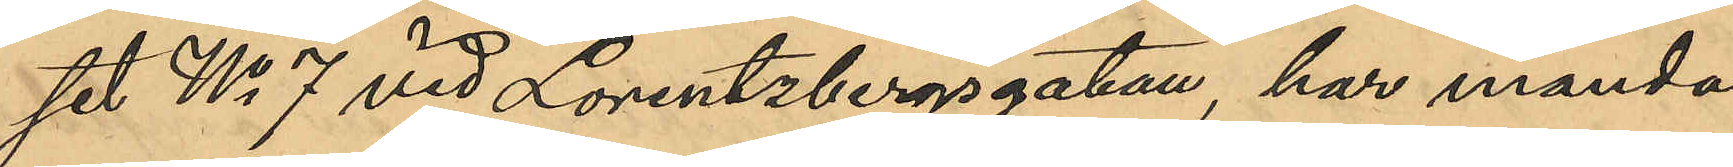set No 7 vid Lorentzbergsgatan, har månda¬
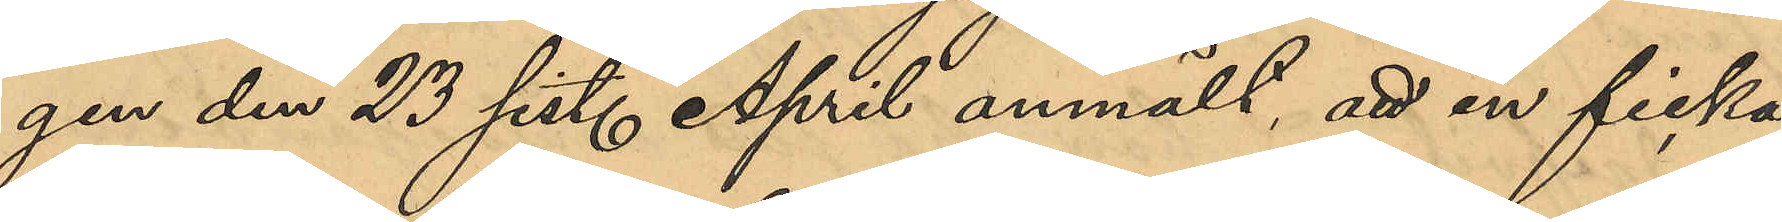gen den 23 sist. April anmält, att en ficka
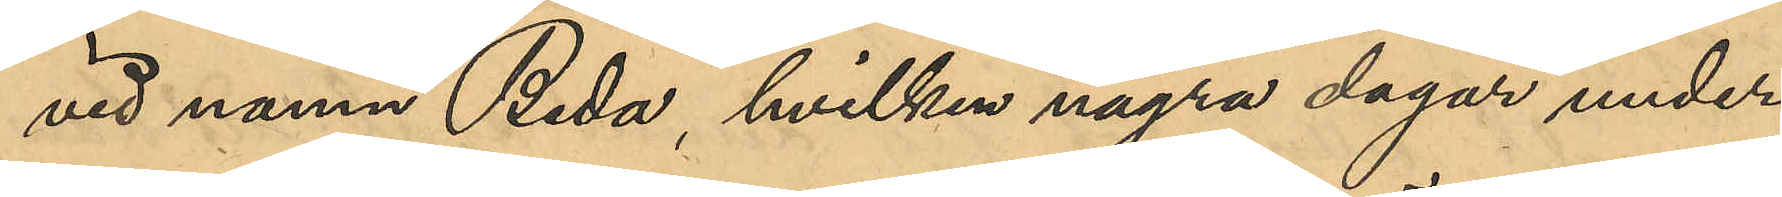vid namn Beda, hvilken några dagar under
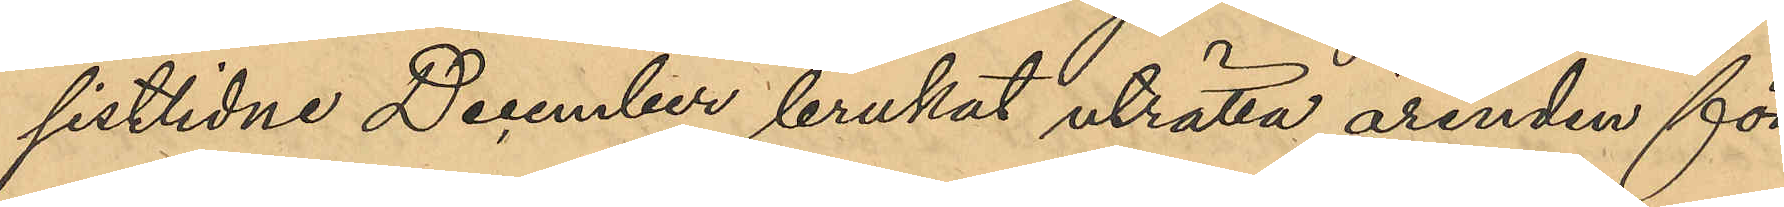sistlidne December brukat uträtta ärenden för
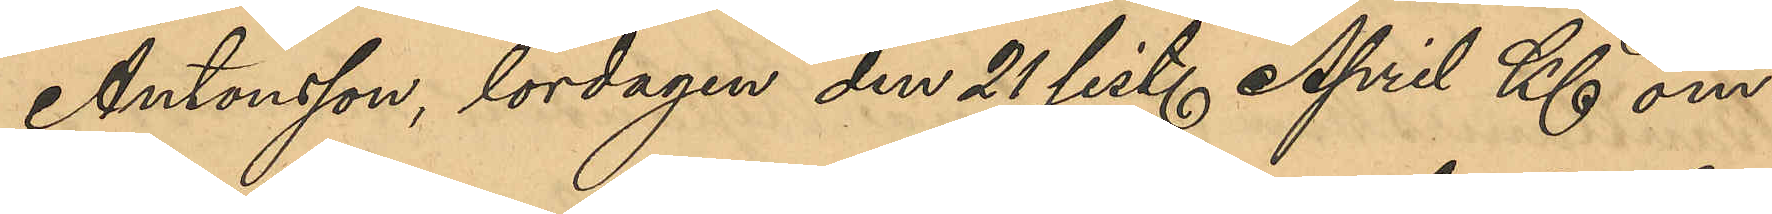Antonsson, lördagen den 21 sist. April Kl om¬
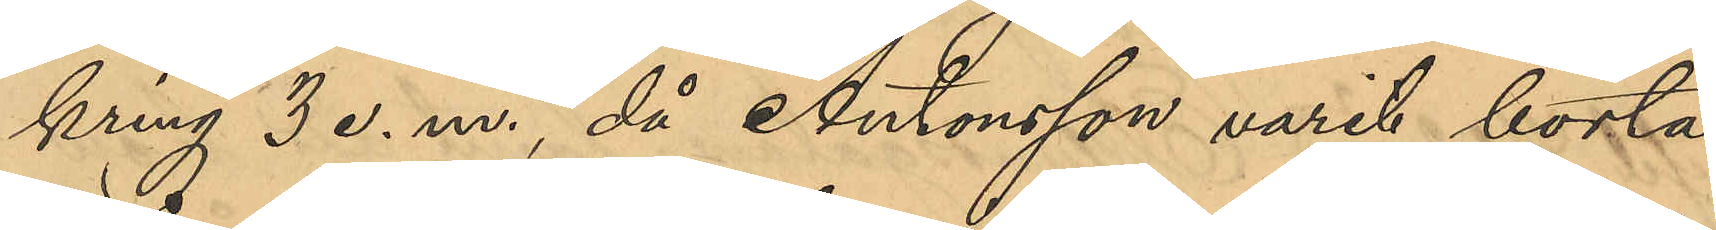kring 3 e.m., då Antonsson varit borta
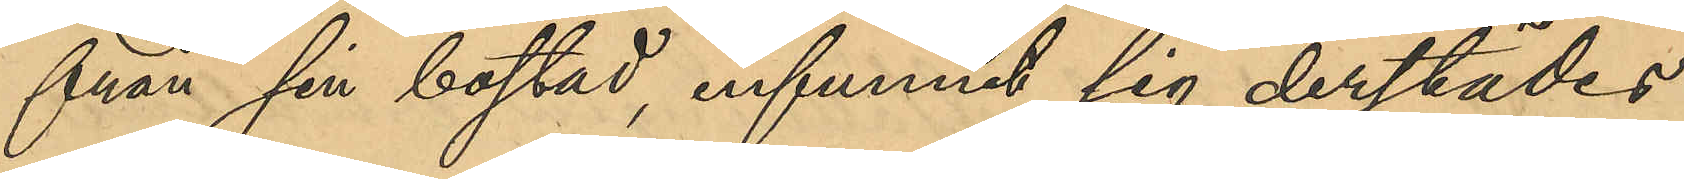från sin bostad, infunnit sig derstädes
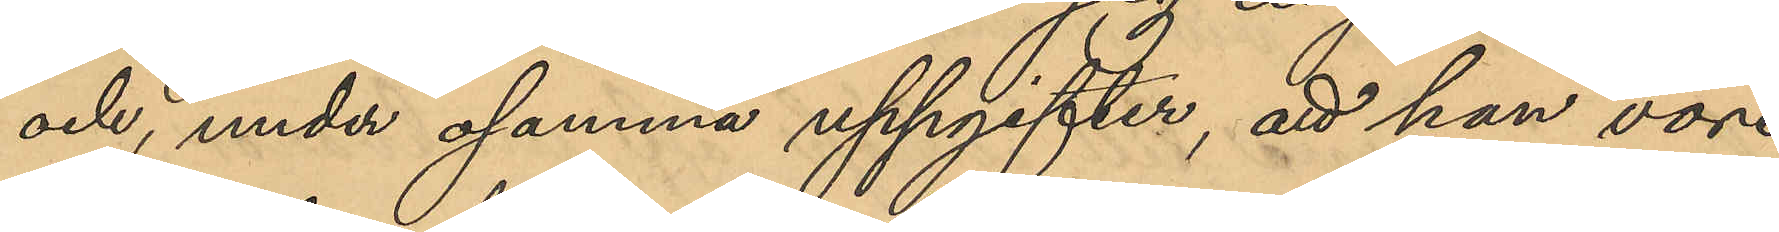och, under osanna uppgifter, att hon vore
